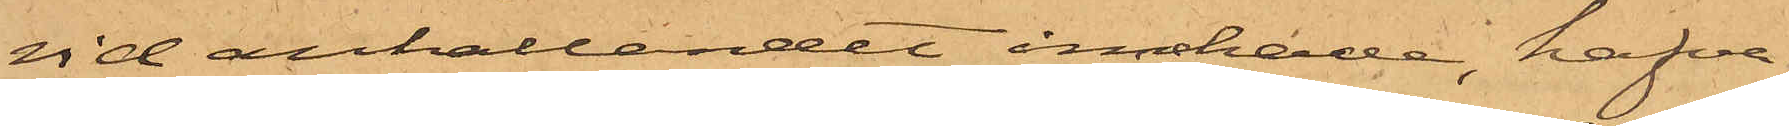vid anhållandet innehade, hafva
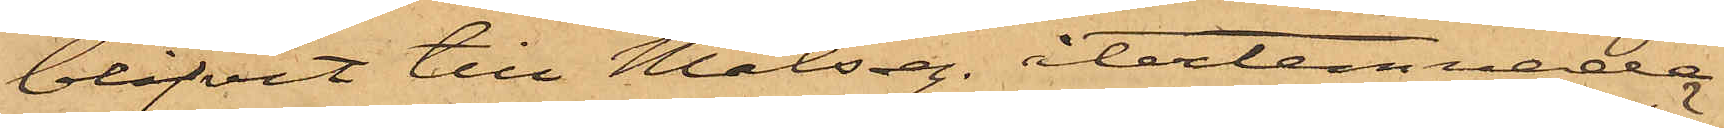blifvit till Målseg. återlemnade.
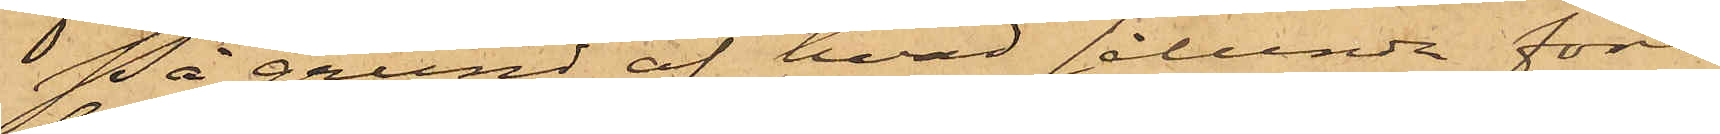På grund af hvad sålunda före¬
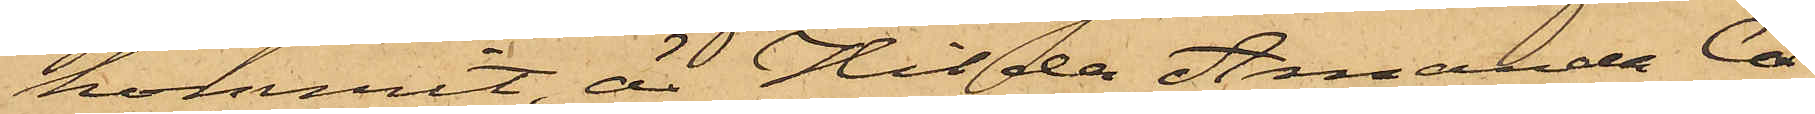kommit, är Hilda Amanda Ca¬
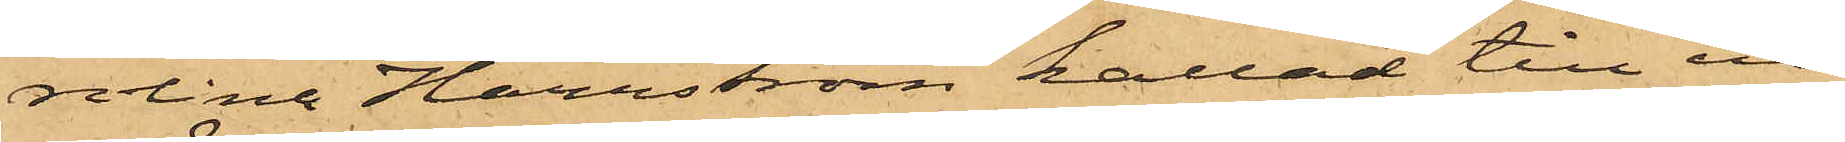rolina Harrström kallad till in¬
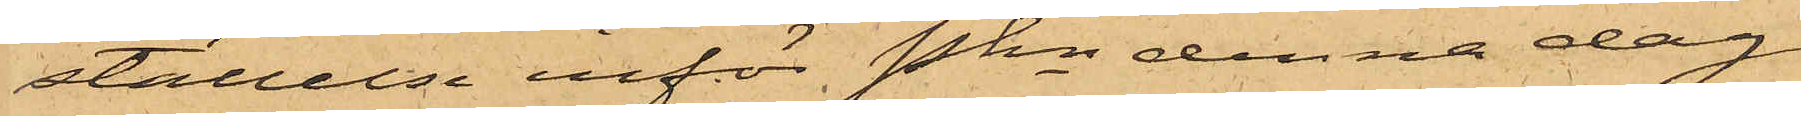ställelse inför Pkn denna dag
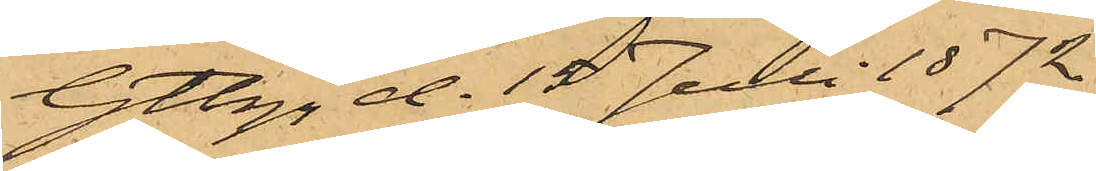Gtbg d. 15 Juli 1872.
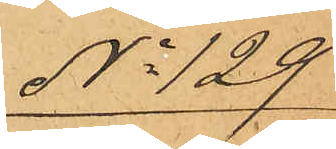No 129
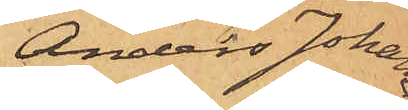Anders Johan¬
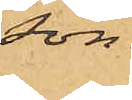son.
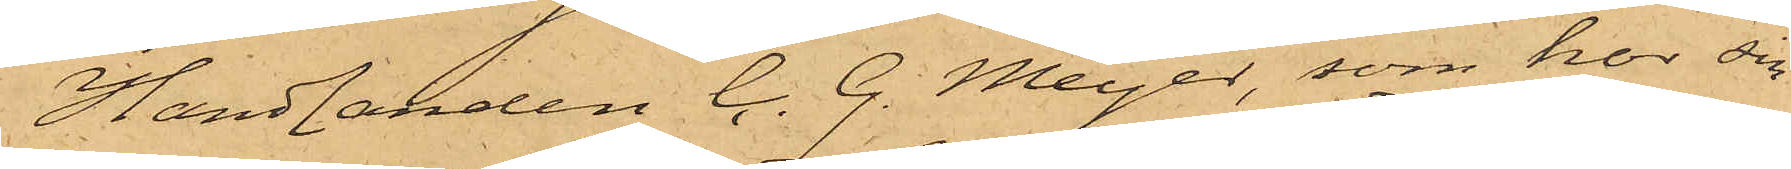Handlanden C. G. Meyer, som har sin
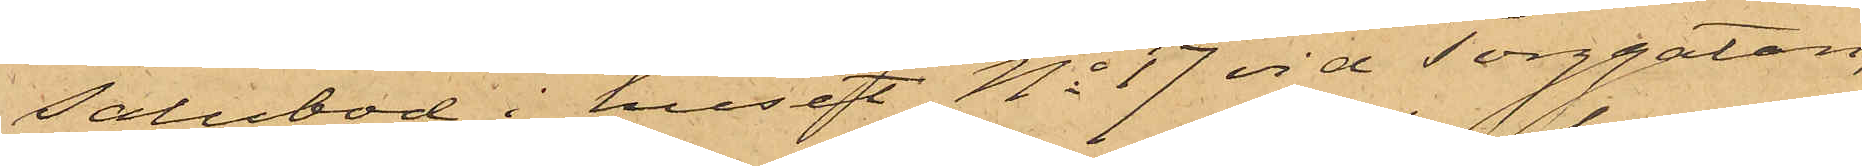salubod i huset No 17 vid Torggatan,
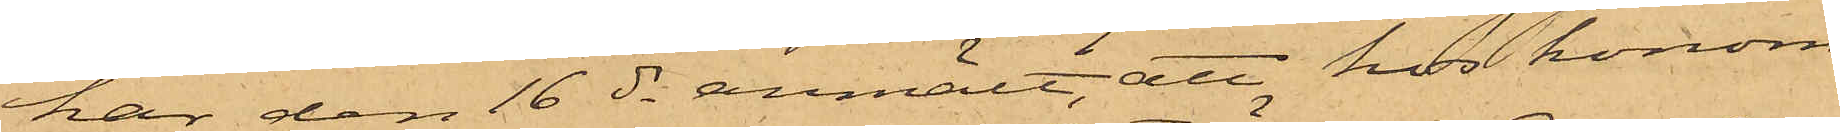har den 16 ds anmält, att hos honom
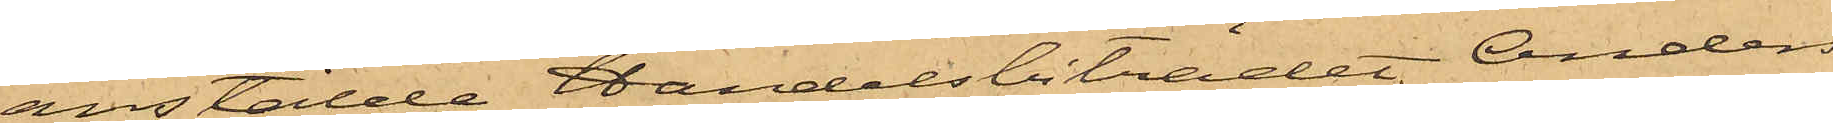anstälde Handelsbiträdet Anders
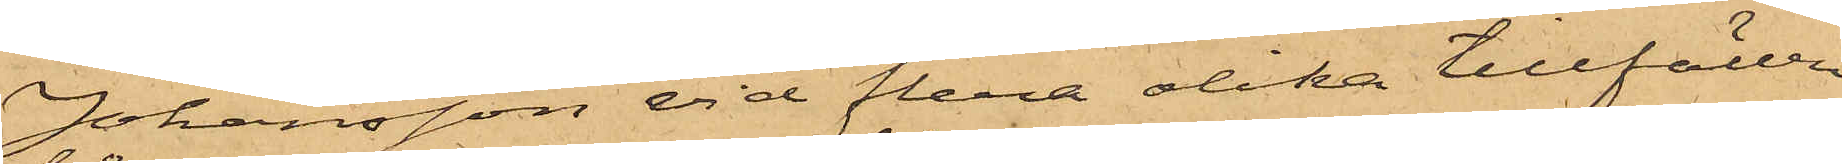Johansson vid flera olika tillfällen
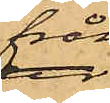från
